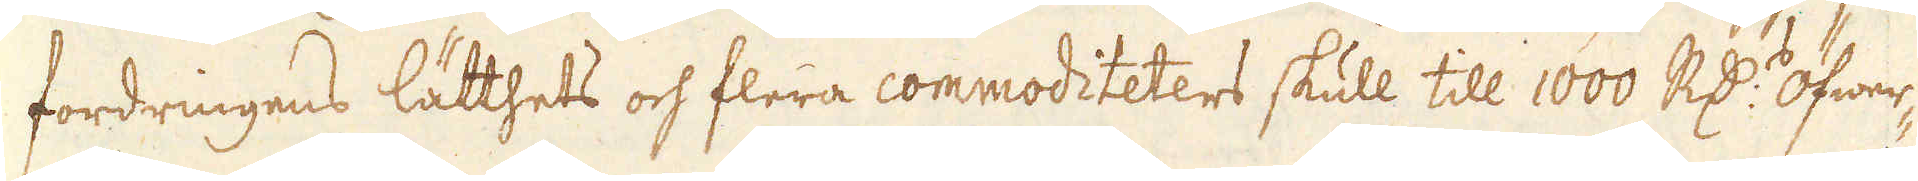fordringens lätthets och flera commoditeters skull till 1000 R:dr öfwer-
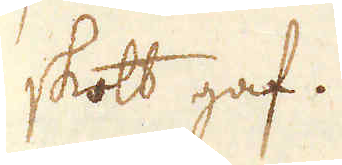skott gaf.
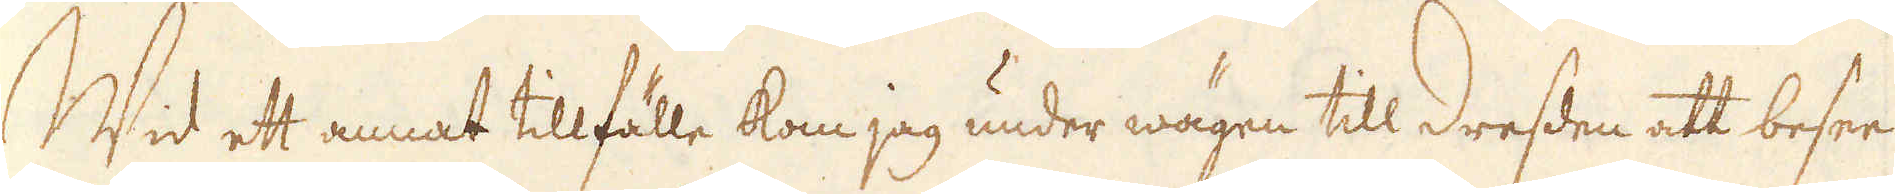Wid ett annat tillfälle kom jag under wägen till Dresden att besee
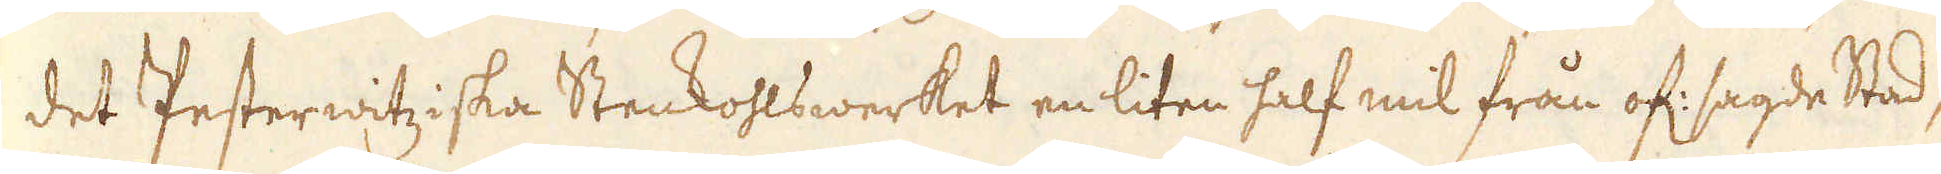det Pesterwitziska Stenkohlswerket en liten half mil från of: sagde Stad,
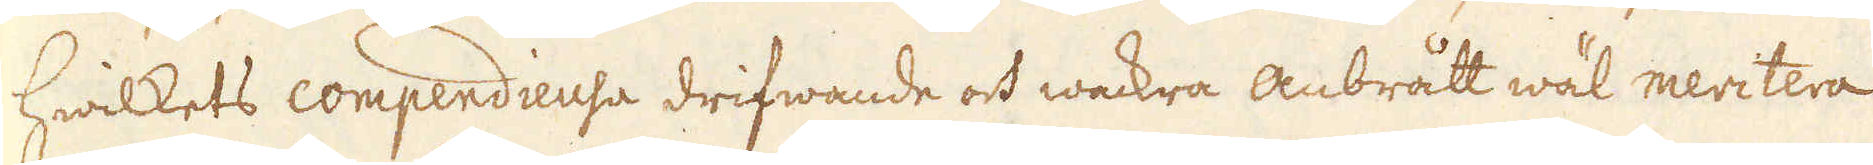hwilkets compendieusa drifwande och wackra anbrått wäl meritera
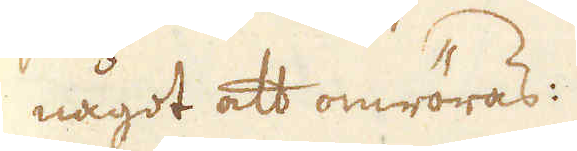något att omröras:
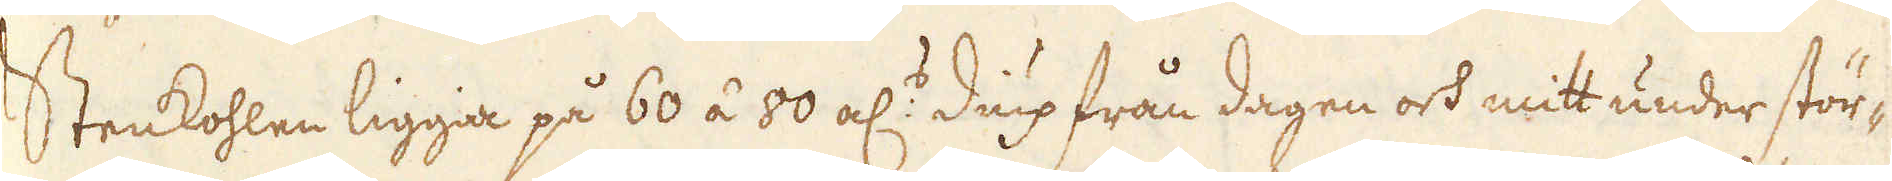Stenkohlen ligga på 60 á 80 al:s diup från dagen och mitt under stör-
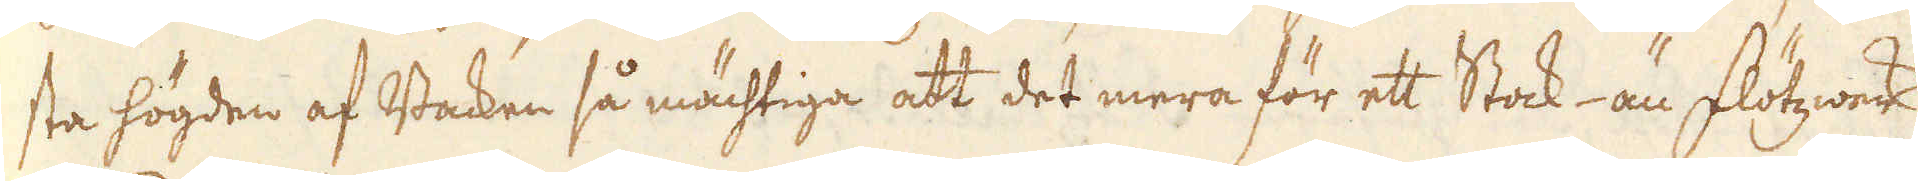sta högden af Backen så mächtiga att det mera för ett Stock- än Flötzwerk
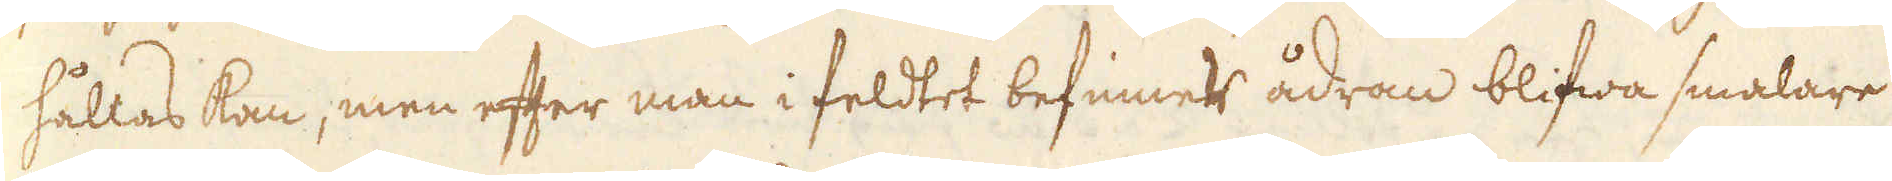hållas kan, men efter man i feldtet befinner ådran blifwa smalare
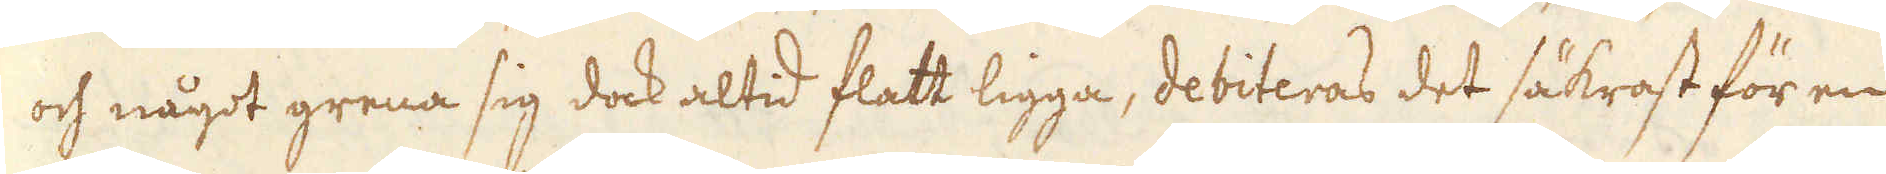och något grena sig dock altid flatt ligga, debiteras det säkrast för en
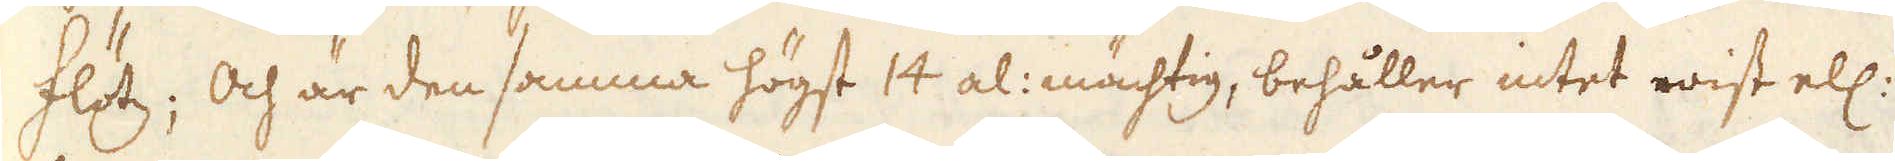Flötz; Och är den samma högst 14 al: mächtig, behåller intet wist ell:
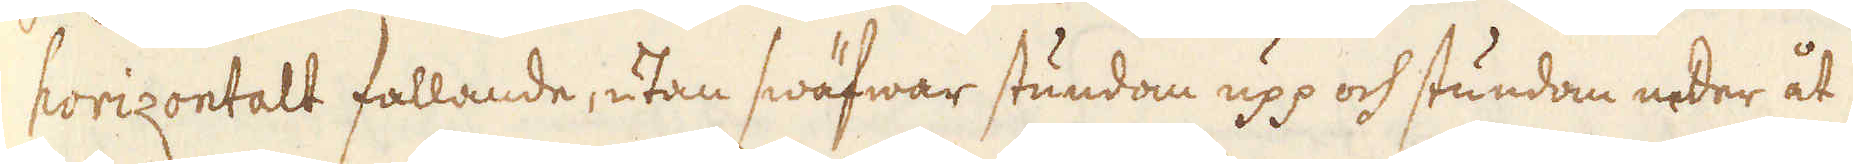horizontalt fallande, utan swäfwar stundom upp och stundom neder åt
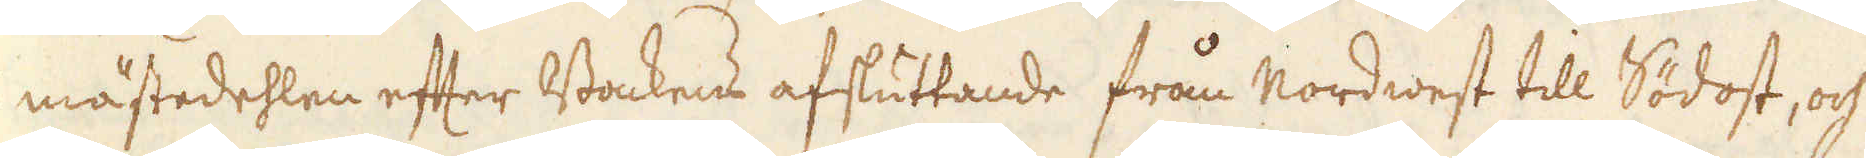mästedehlen efter Backens afsluttande från Nordwest till Södost, och
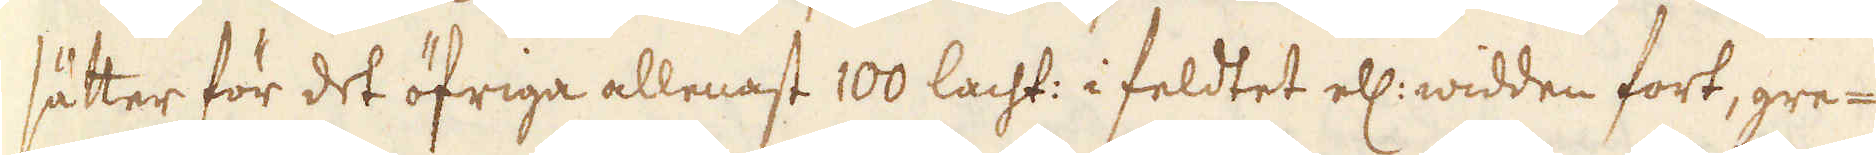sätter för det öfriga allenast 100 lacht: i feldtet ell: widden fort, gre-
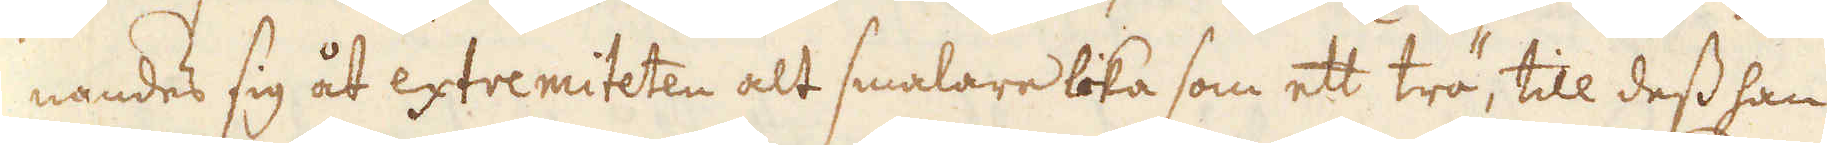nandes sig åt extremiteten alt smalare lika som ett trä, till dess han
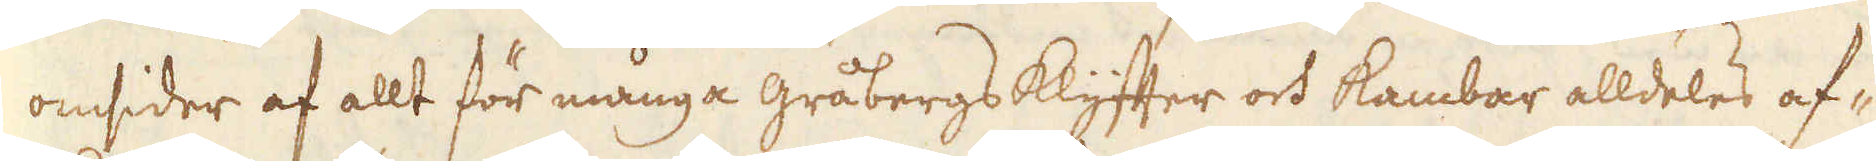omsider af allt för många gråbergsklyffter och kambar alldeles af-
